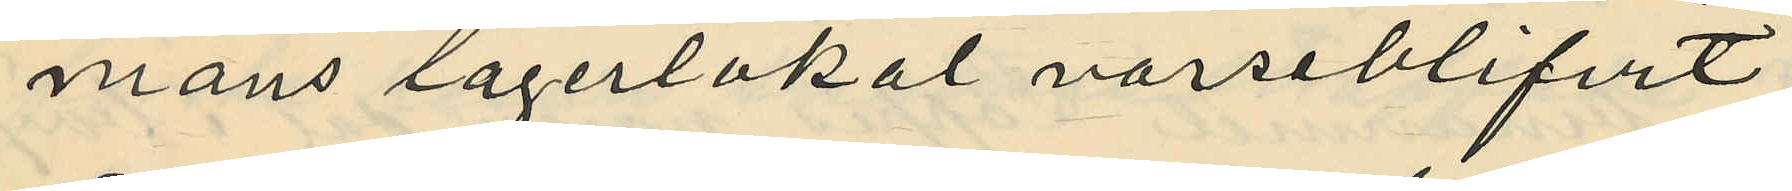mans lagerlokal varseblifvit
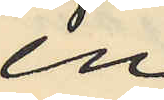en
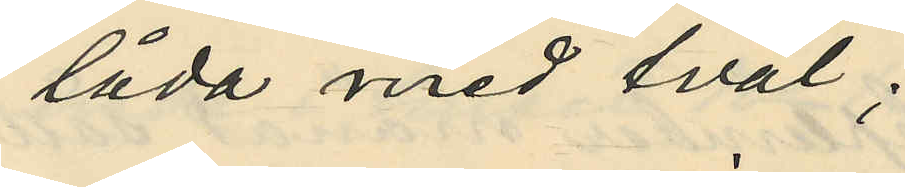låda med tvål;
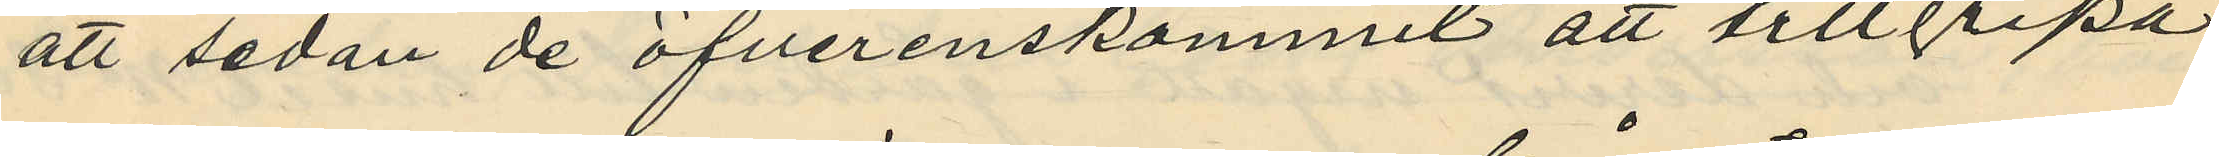att sedan de öfverenskommit att tillgripa
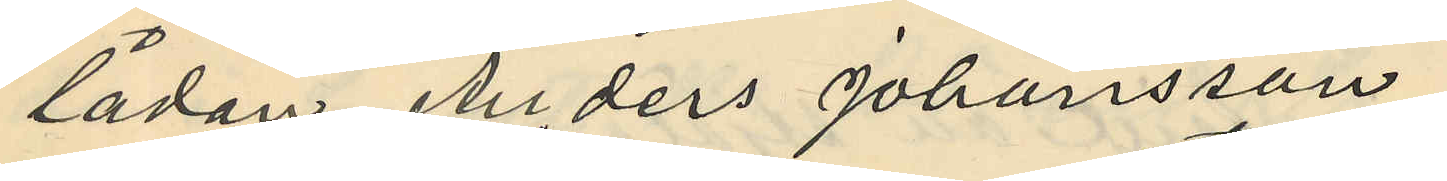lådan Anders Johansson
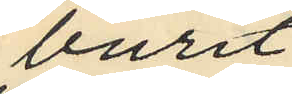burit
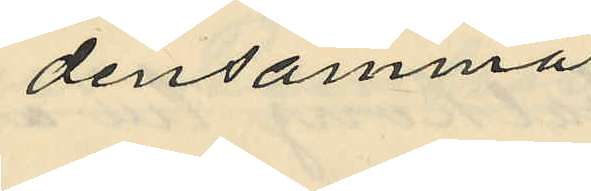densamma
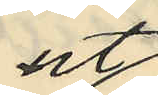ut
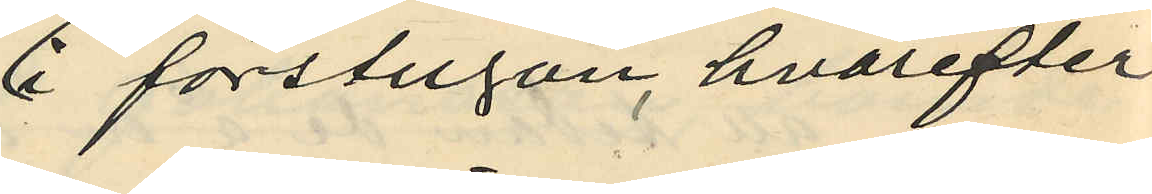i förstugan, hvarefter
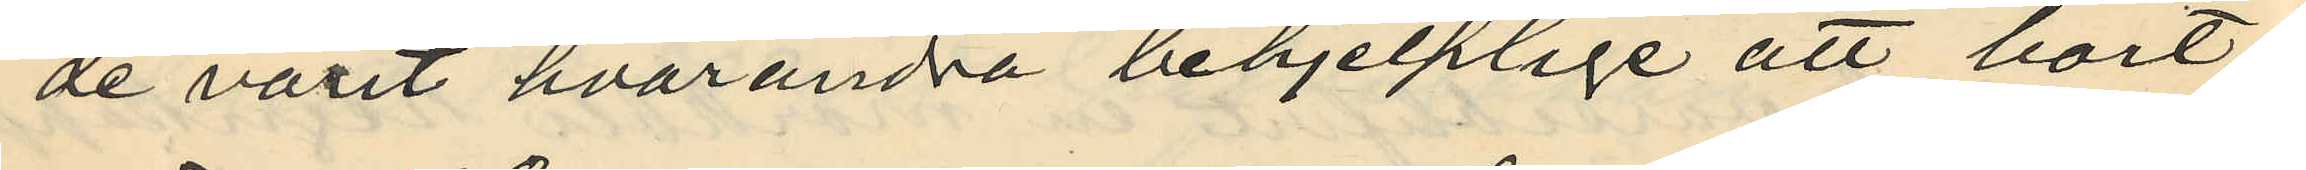de varit hvarandra behjelplige att bort¬
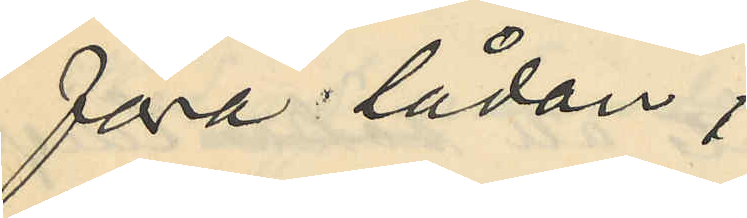föra lådan
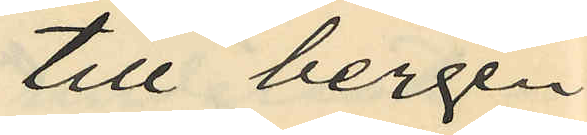till bergen
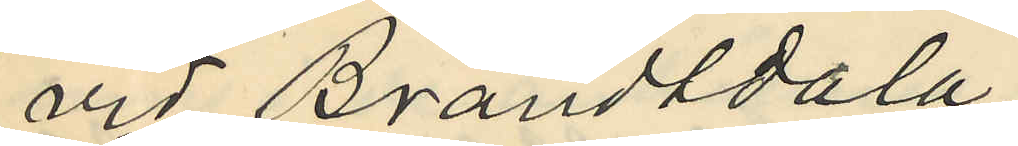vid Brandtdala
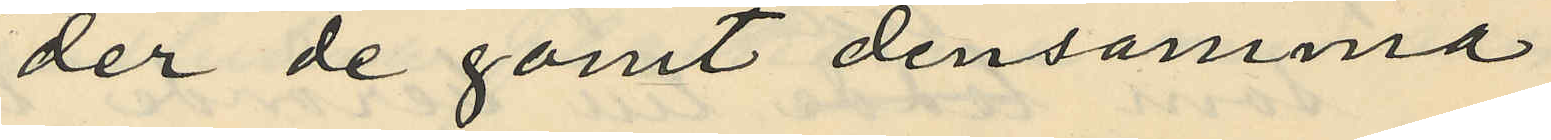der de gömt densamma
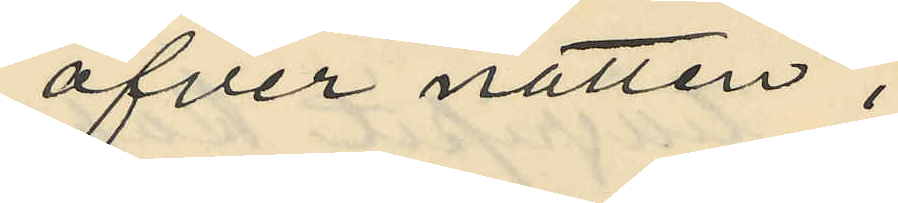öfver natten;
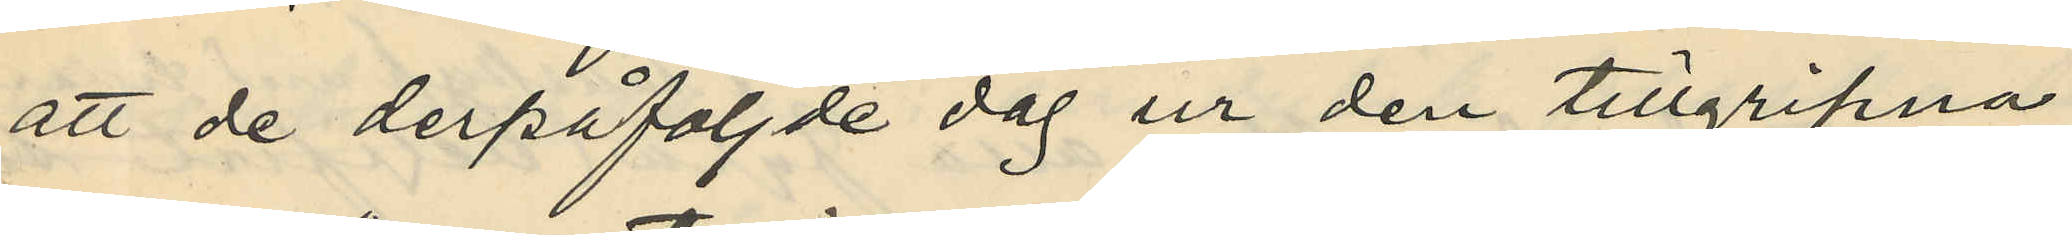att de derpåföljade dag ur den tillgripna
